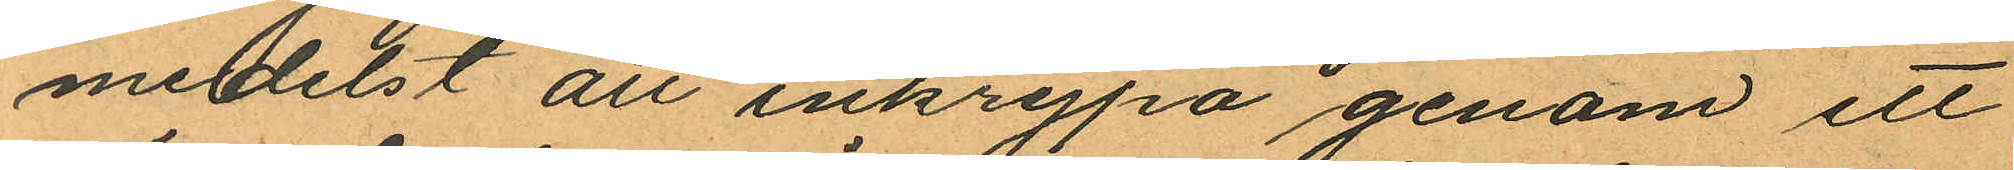medelst att inkrypa genom ett
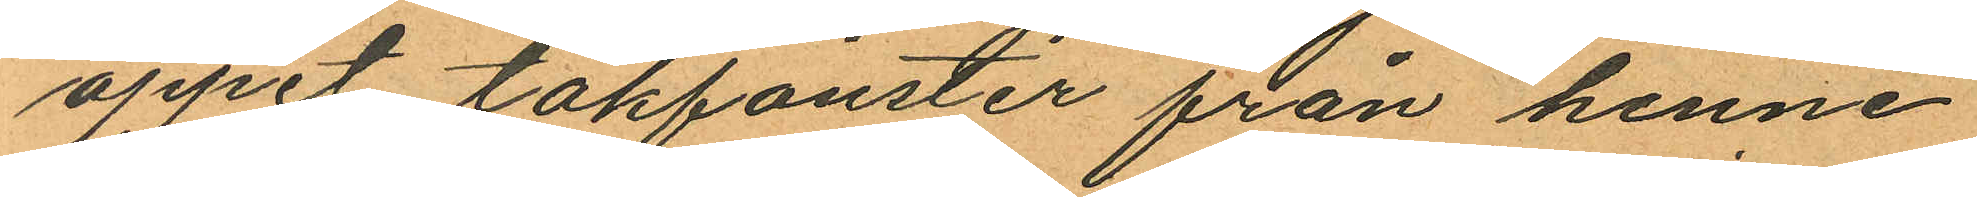öppet takfönster från henne
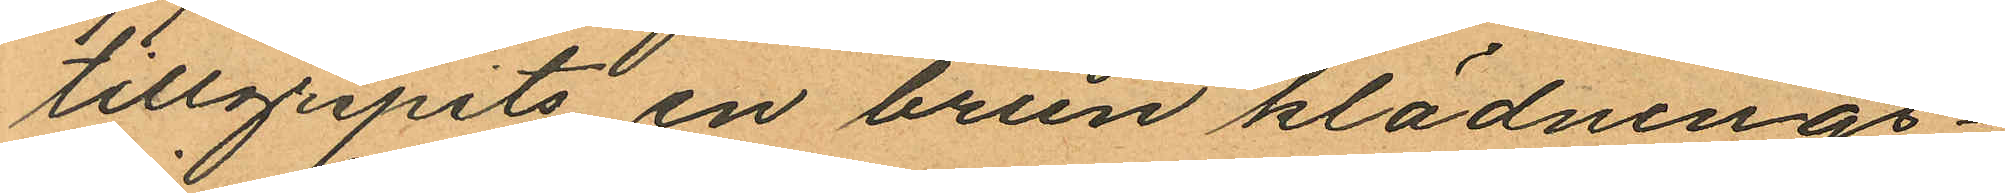tillgripits en brun klädnings¬
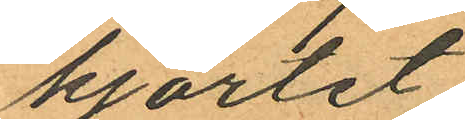kjortet
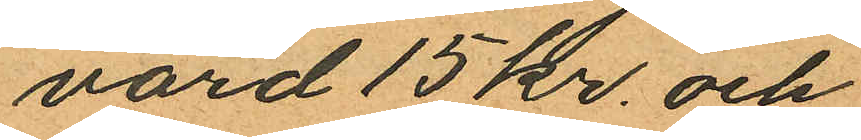värd 15 kr. och
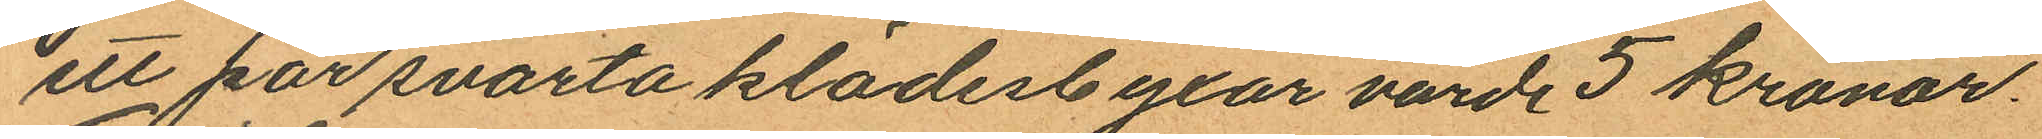ett par svarta klädesbyxor värde 5 kronor.
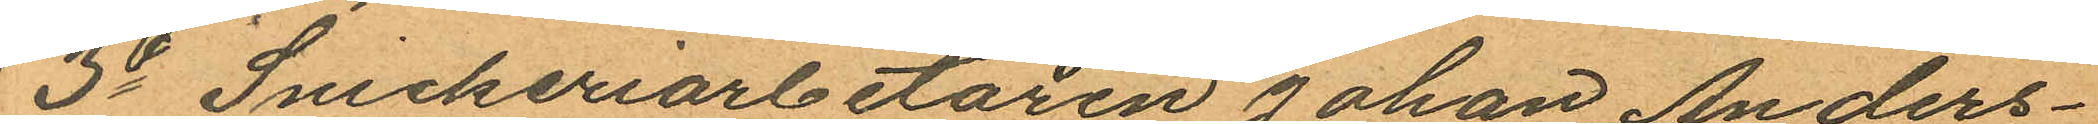3o Snickeriarbetaren Johan Anders¬
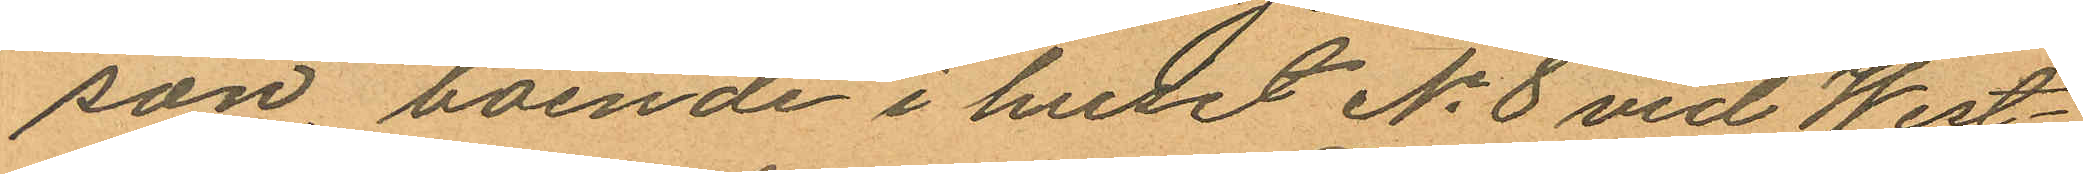son boende i huset No 8 vid West¬
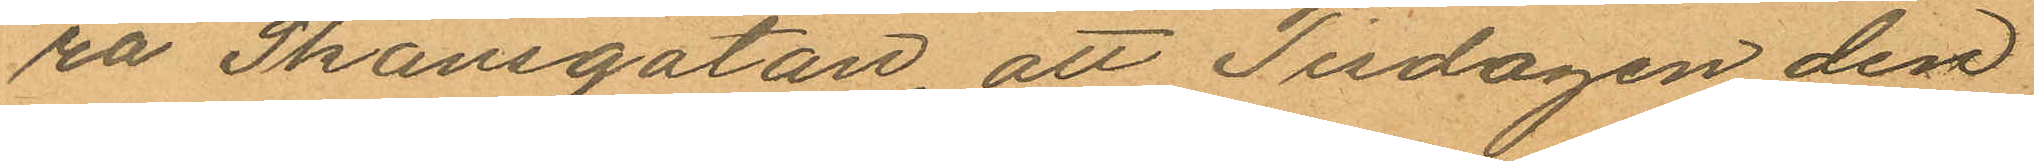ra Skansgatan, att Tisdagen den
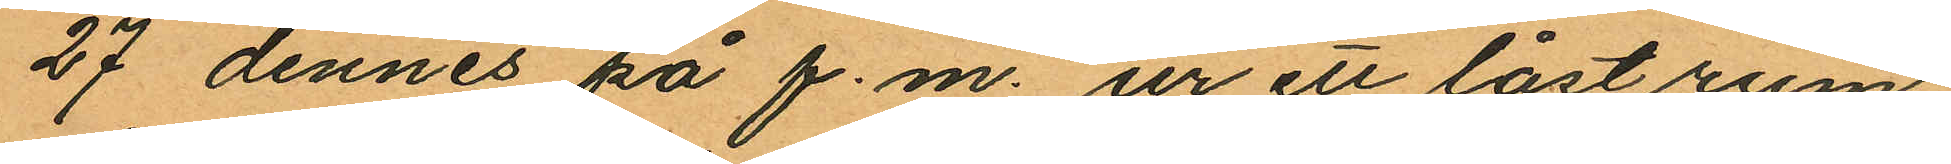27 dennes på f.m. ur ett låst rum
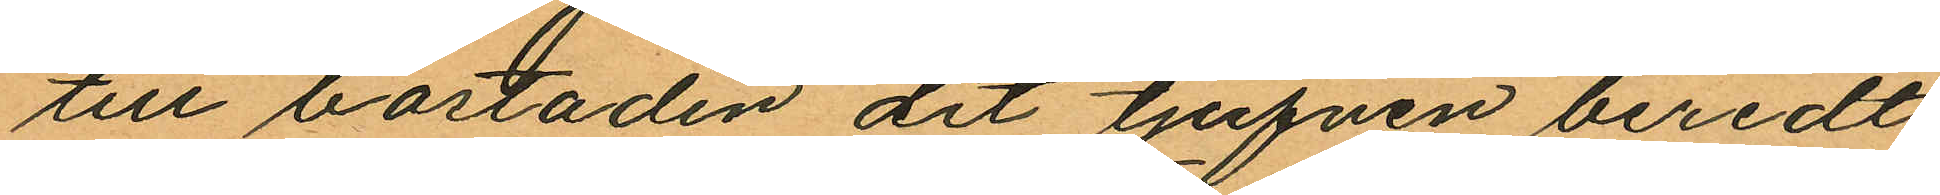till bostaden dit tjufven beredt
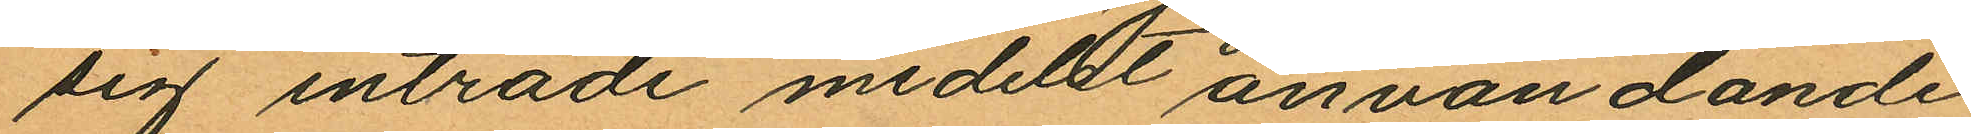sig inträde medelst användande
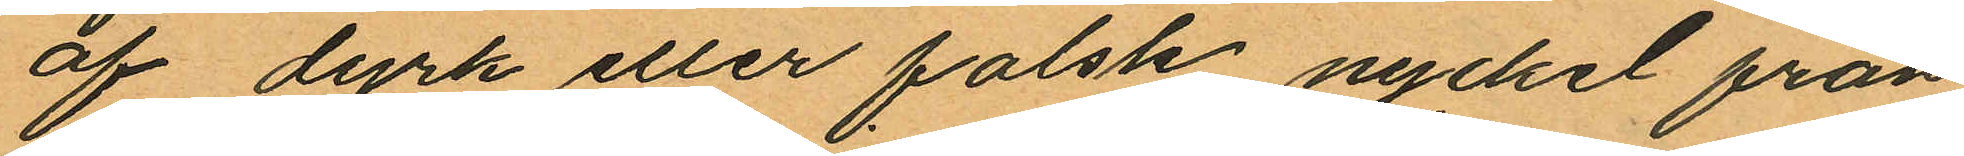af dyrk eller falsk nyckel från
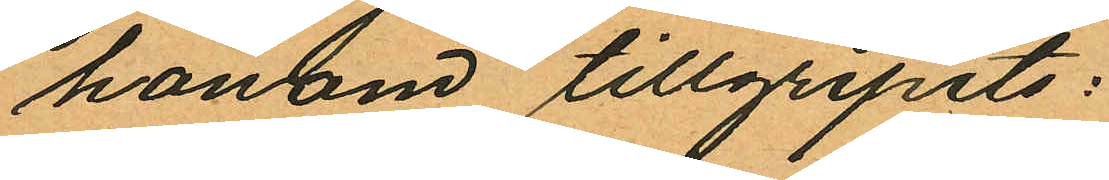honom tillgripits:
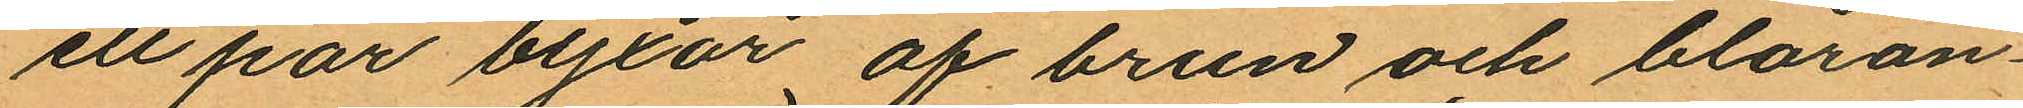ett par byxor af brun och blåran¬
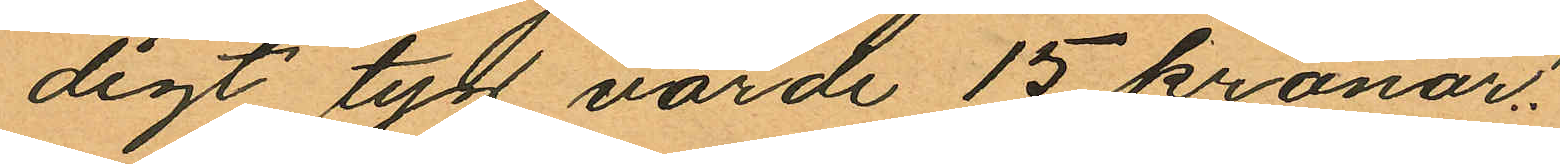digt tyg värde 15 kronor;
